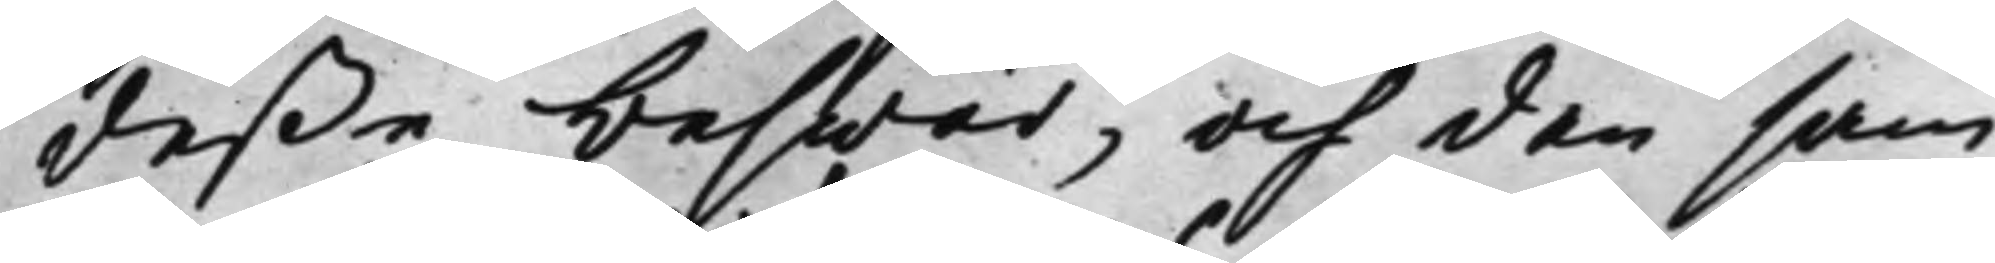deße beswär, och den sam¬
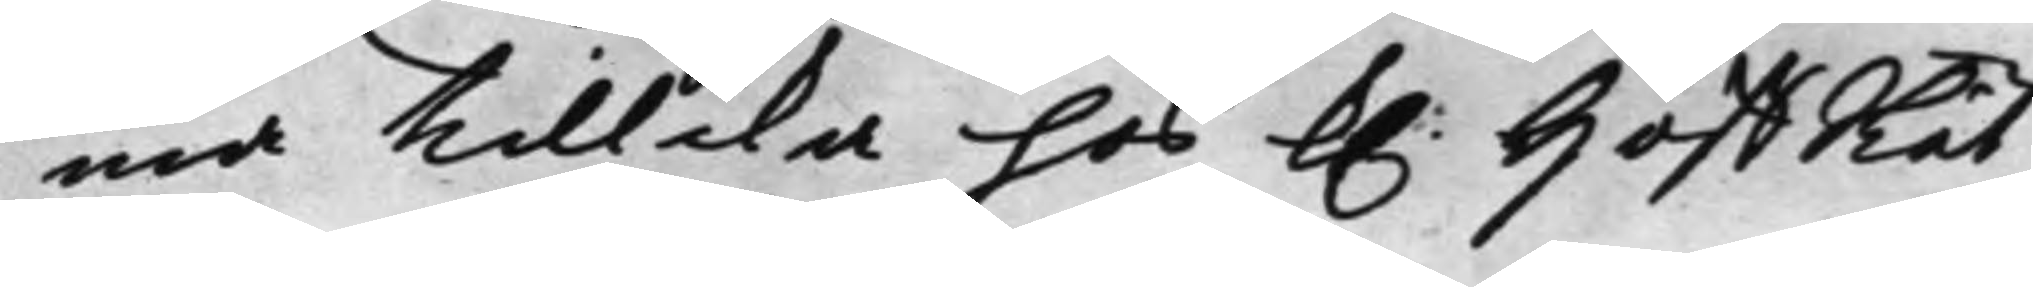ma tillika hos K. HoffRät¬
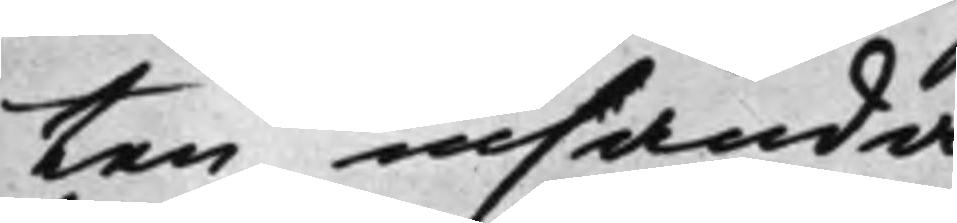ten insända.
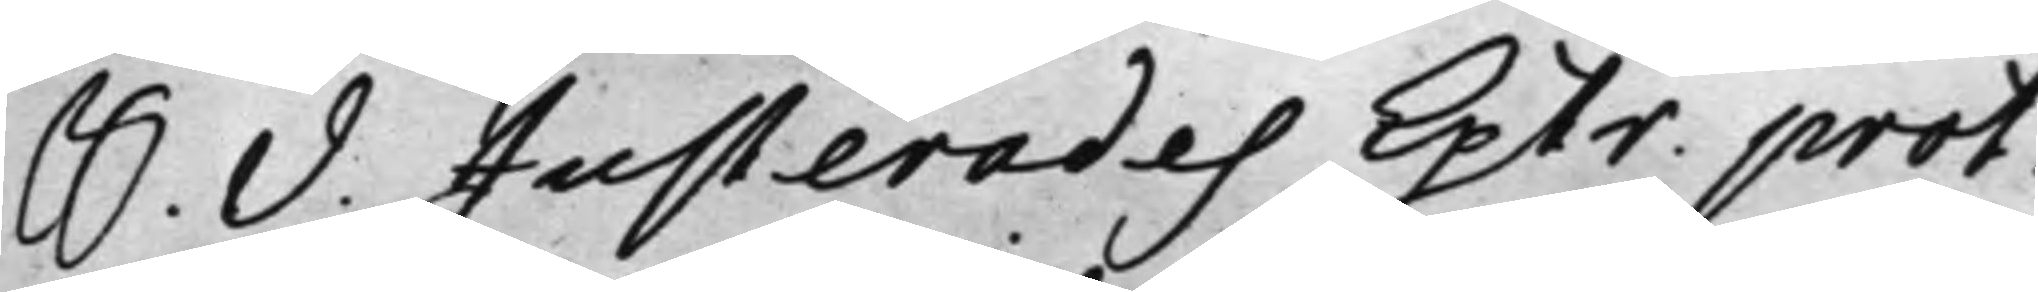S. D. Justerades Extr. prot.
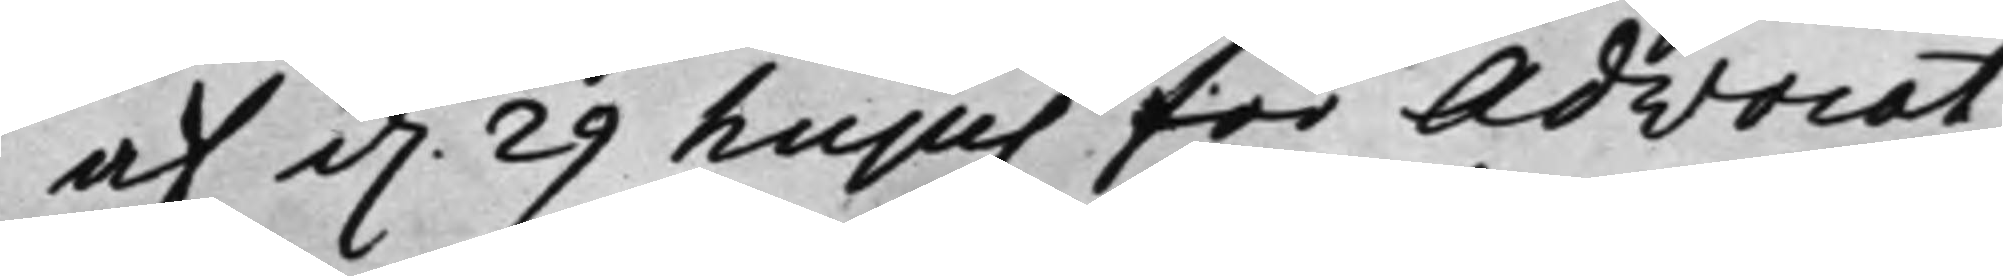af d. 29 hujus för Advocat¬
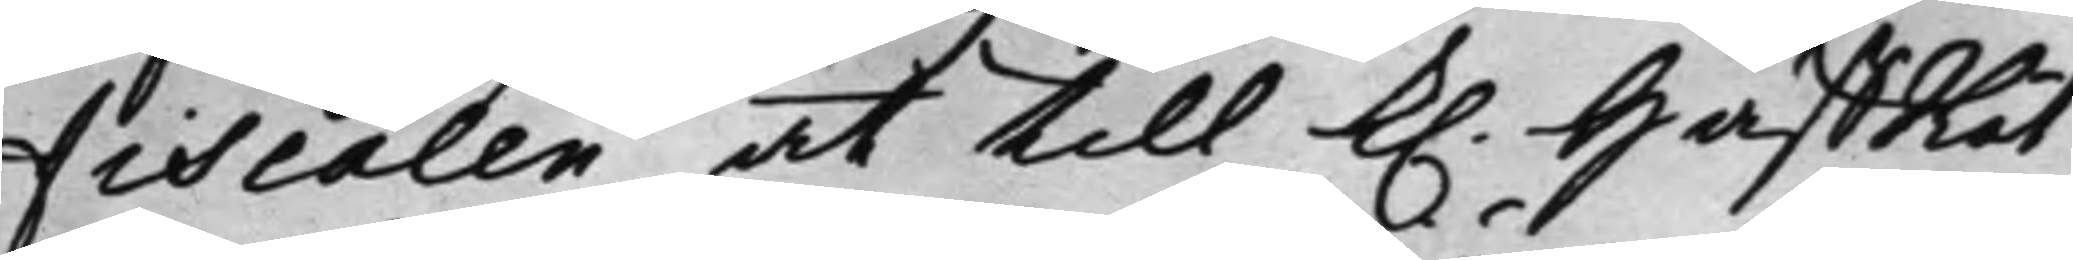Fiscalen, at till K. HåffRät¬
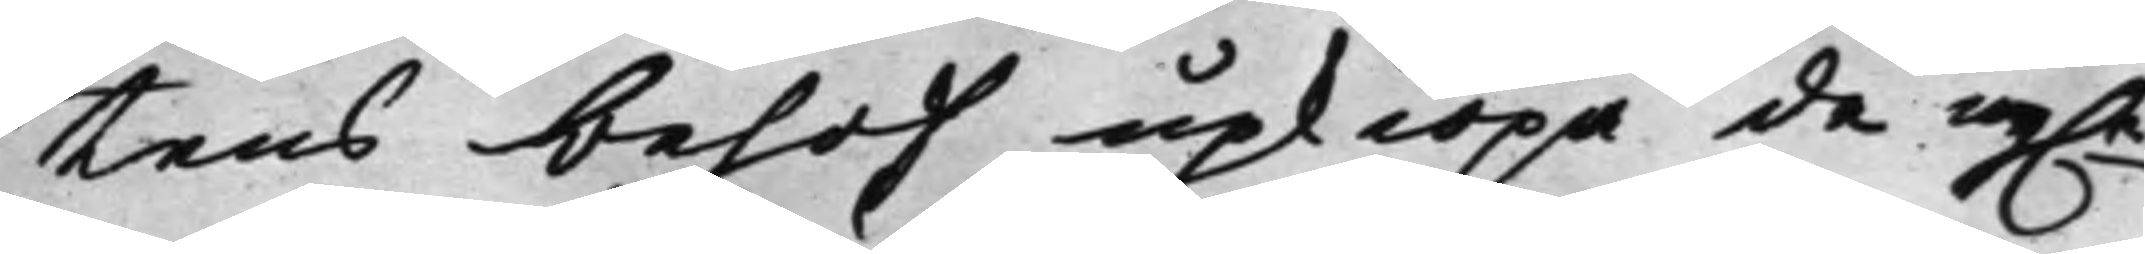tens behof upkiöpa de ny.n
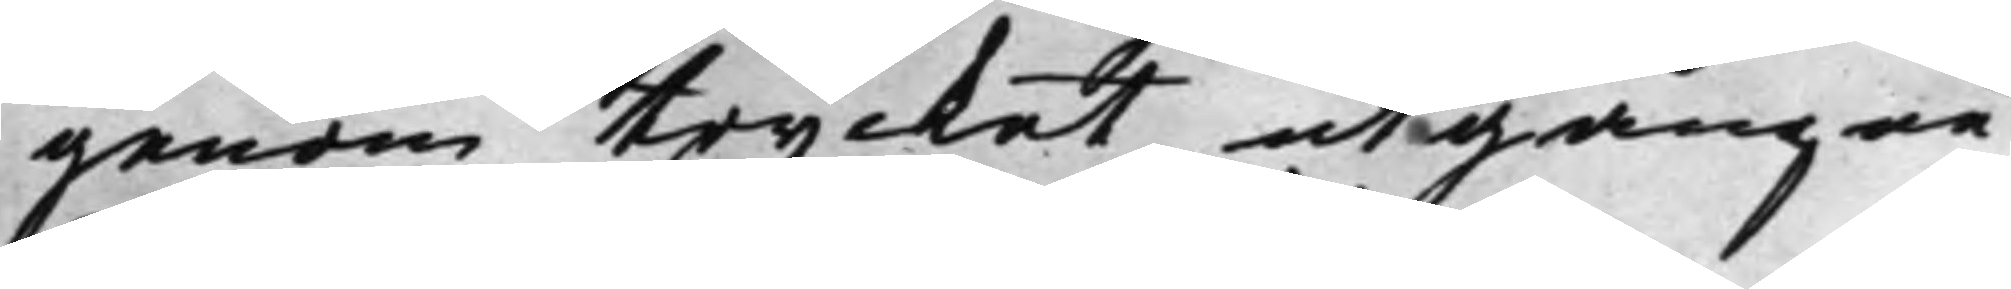genom trycket utgångne
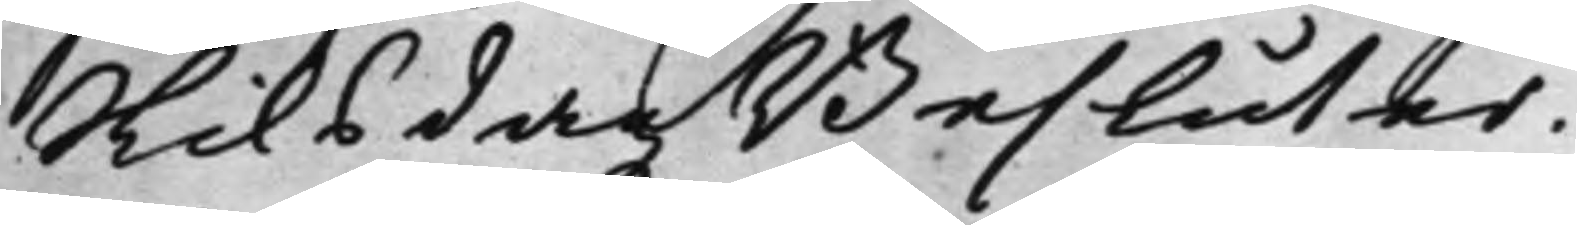Riksdagz Besluter.
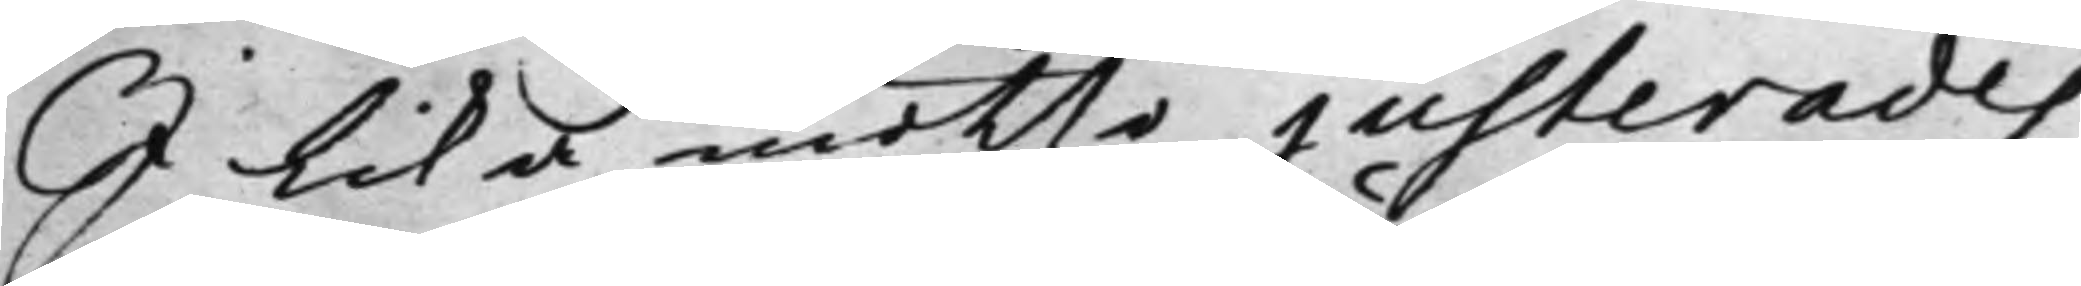I lika måtto justerades
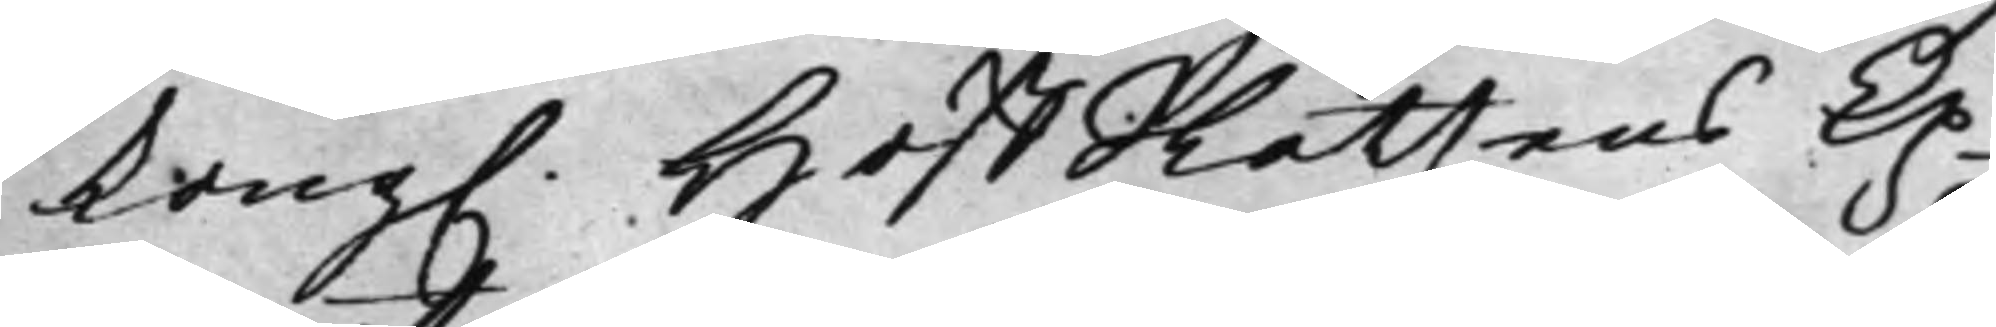Kong. HoffRättens Ex¬
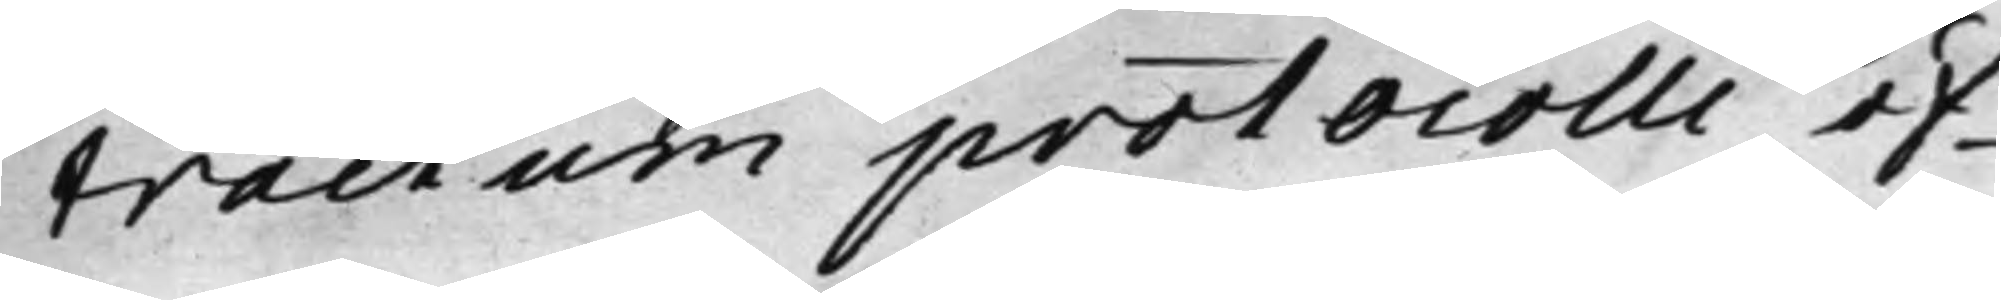tractum protocolli öf¬
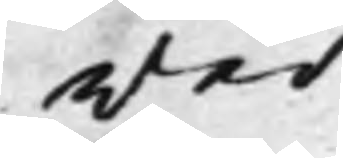wer
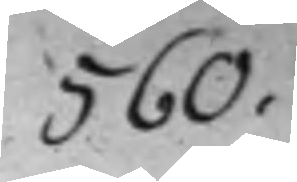560.
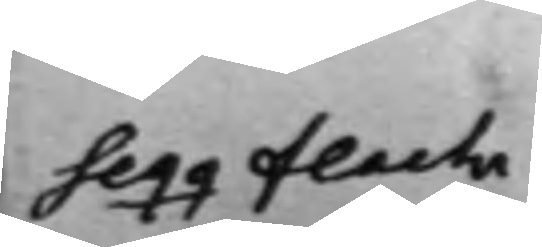Seqq Flach
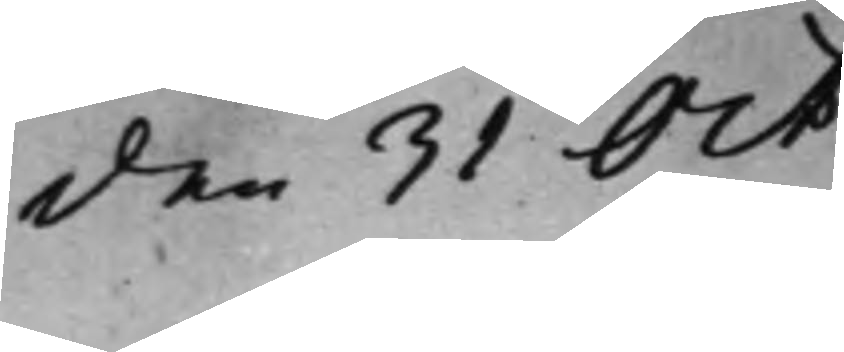den 31 Oct.
